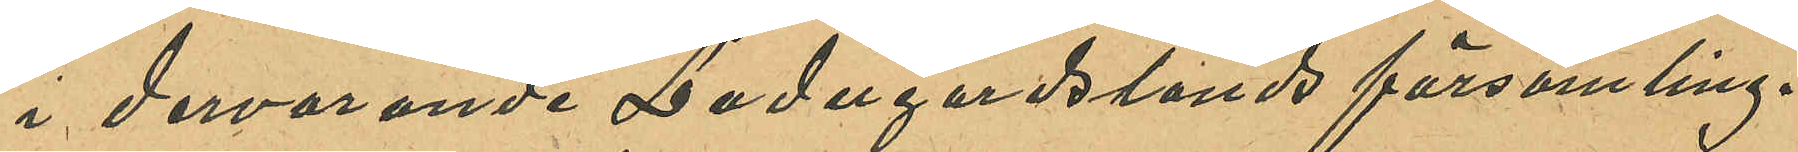i dervarande Ladugårdslands församling.
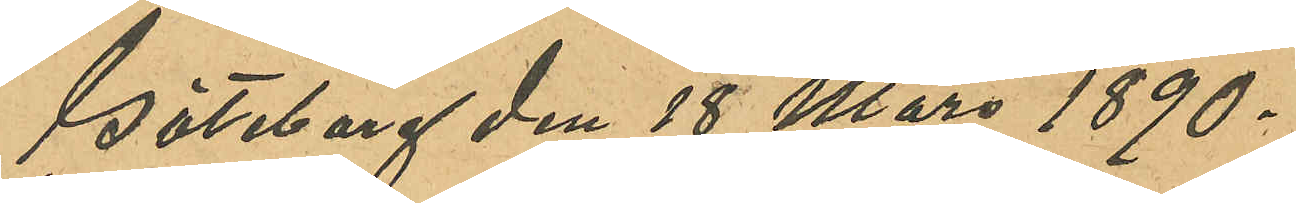Göteborg den 18 Mars 1890.
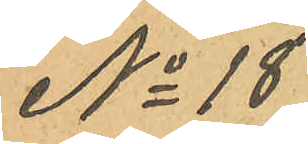No 18
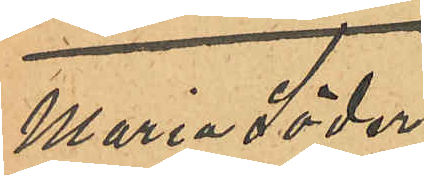Maria Söder¬
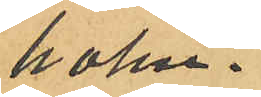holm.
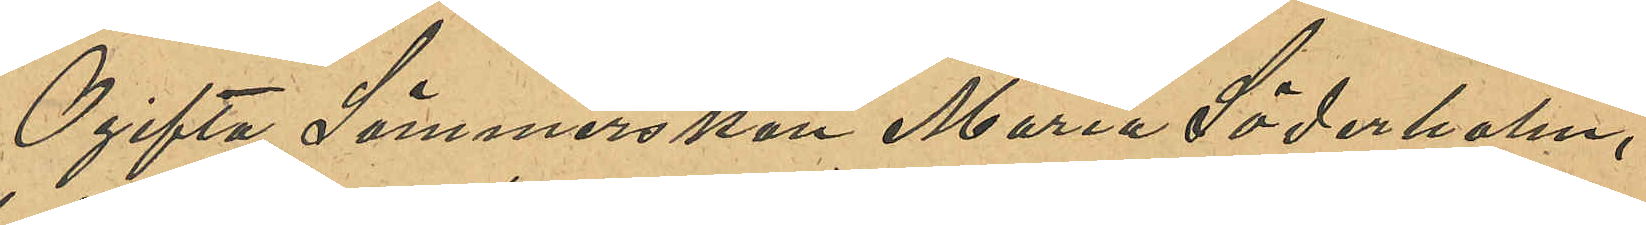Ogifta Sömmerskan Maria Söderholm,
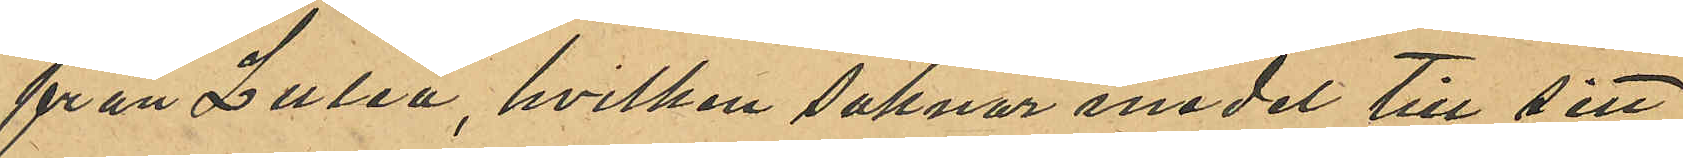från Luleå, hvilken saknar medel till sitt
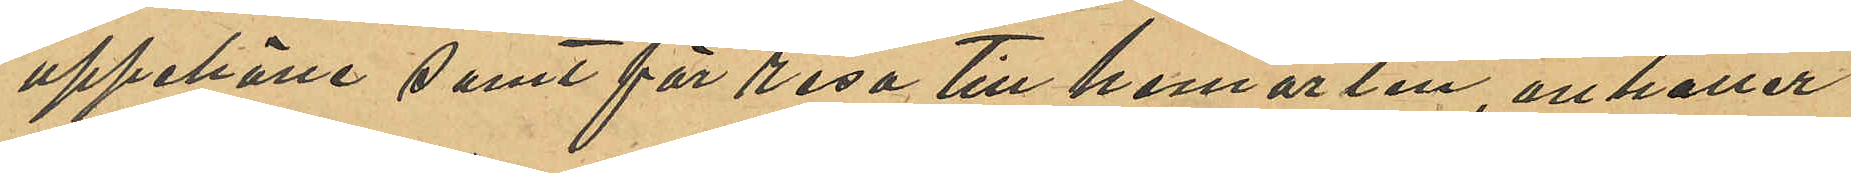uppehälle samt för resa till hemorten, anhåller
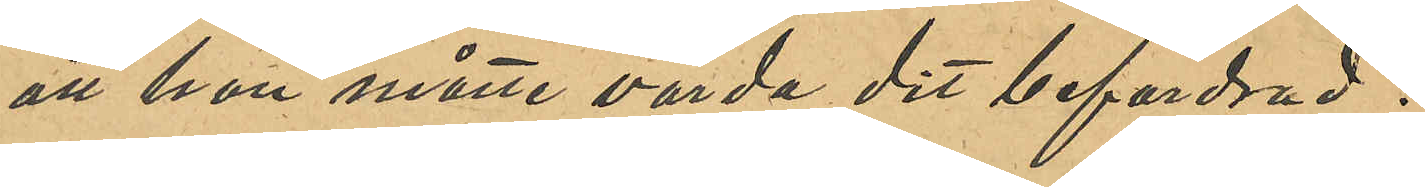att hon måtte varda dit befordrad.
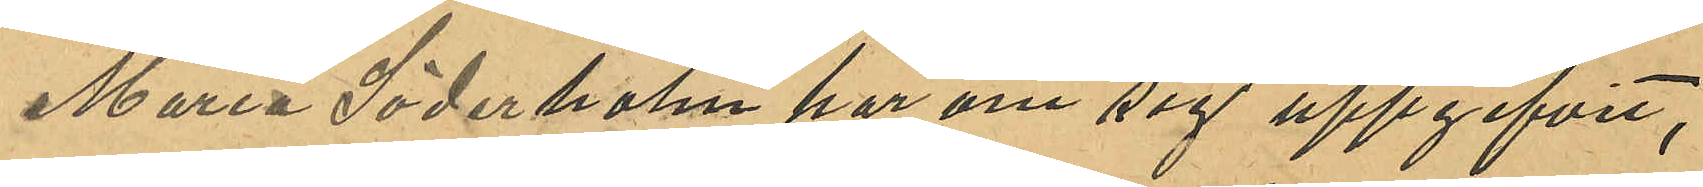Maria Söderholm har om sig uppgifvit,
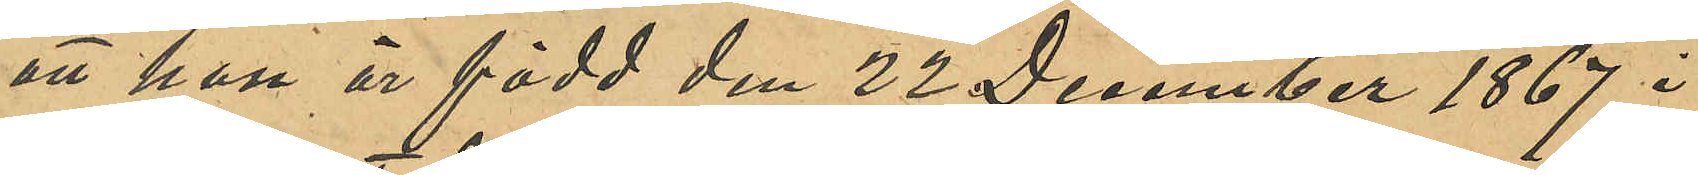att hon är född den 22 December 1867 i
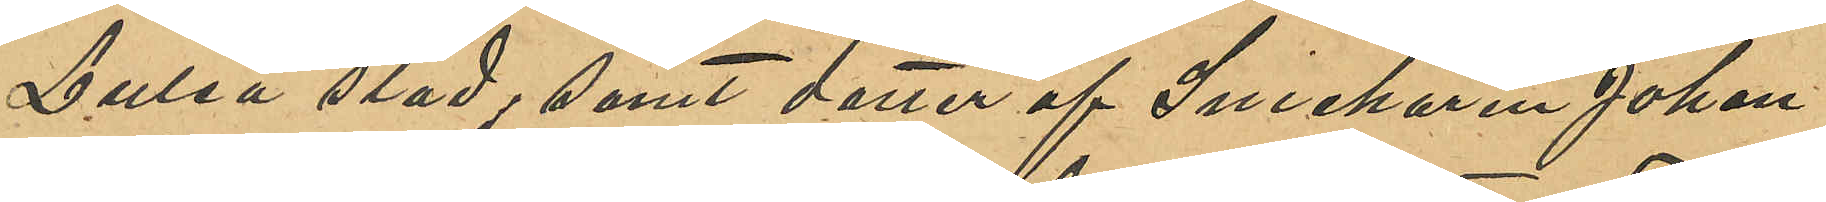Luleå stad; samt dotter af Snickaren Johan
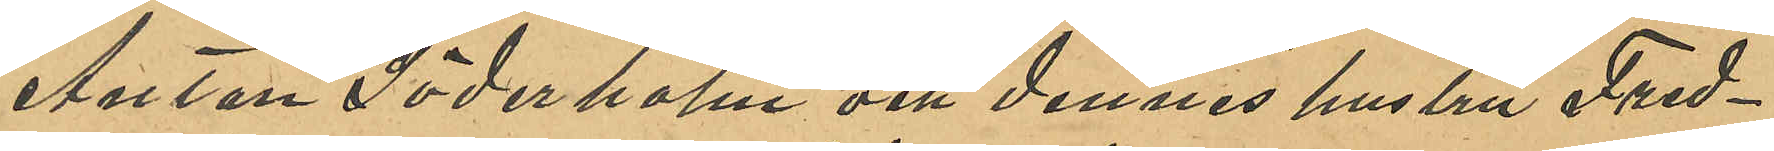Anton Söderholm och dennes hustru Fred¬
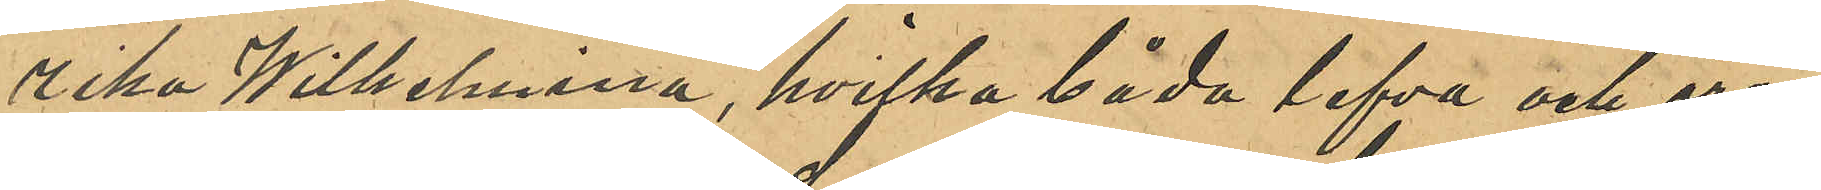rika Wilhelmina, hvilka båda lefva och äro
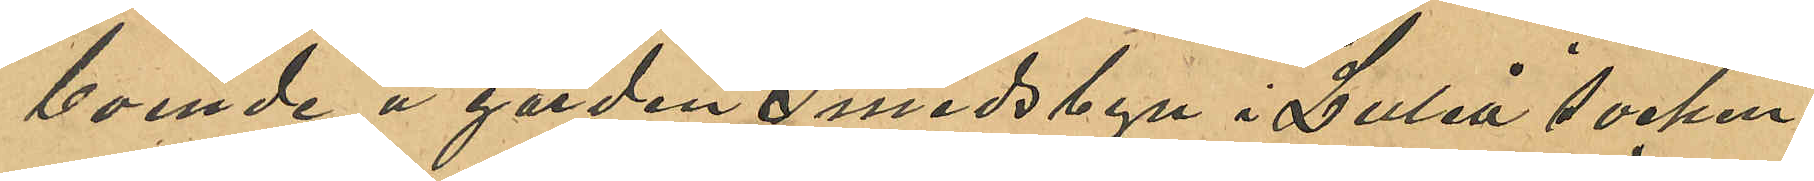boende å gården Smedsbyn i Luleå socken
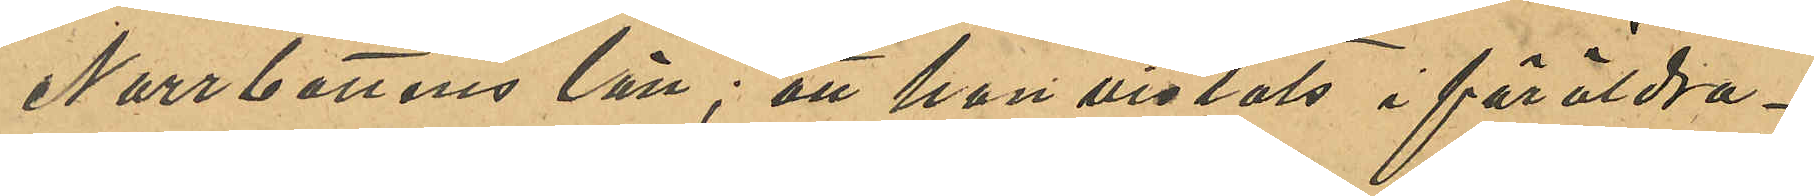Norrbottens län; att hon vistats i föräldra¬
